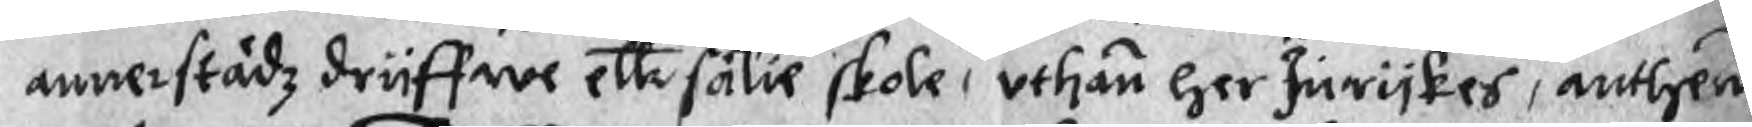annerstädz driiffwe ellr sälie skole, uthan her Inrijkes, athen
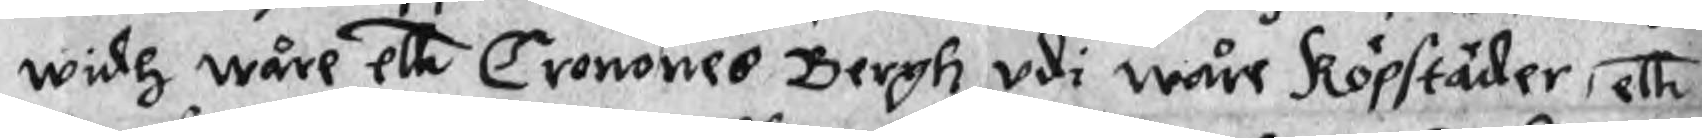widh wåre ellr Cronones Bergh udi wåre Köpstäder, ellr
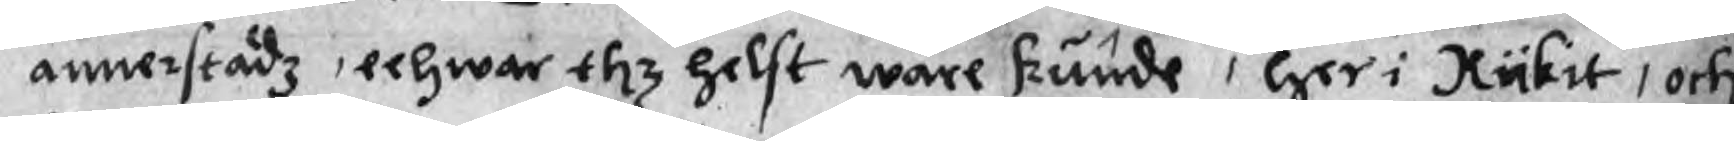annerstädz, eehwar tlz helst ware kunde, her i Rykit, och
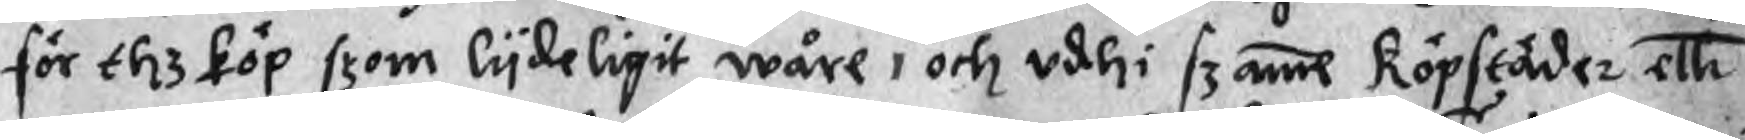för thz köp som lydeligit wåre, och udhi szame Köpstäder ellr
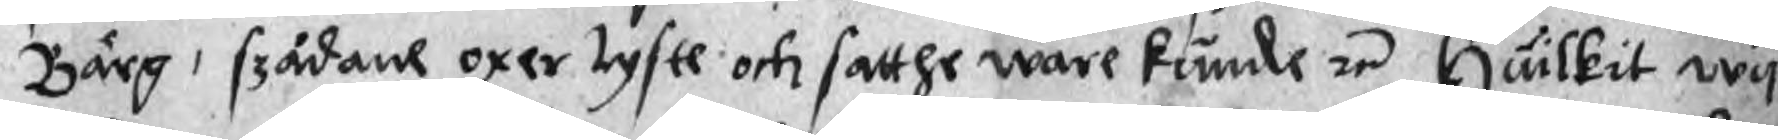Bärg, szådane oxer tyste och satthe ware kunde re Huilkit wy
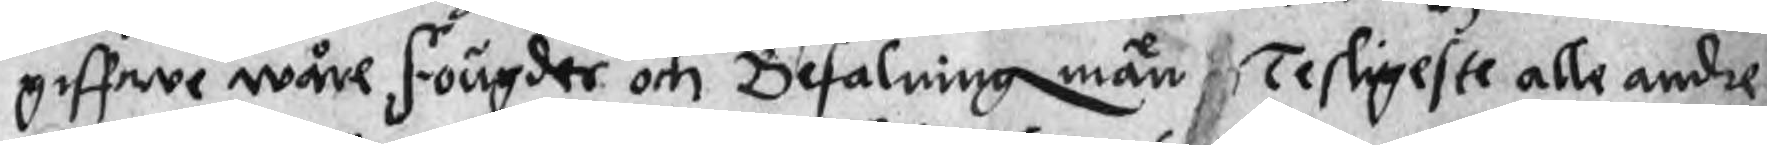giffwe wåre fougder och Befalning män Tesligeste alle andre
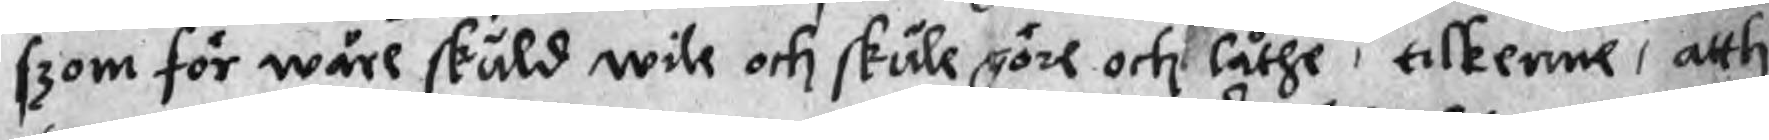szom för wåre skuld wile och skule göre och låthe, tilkenne, atth
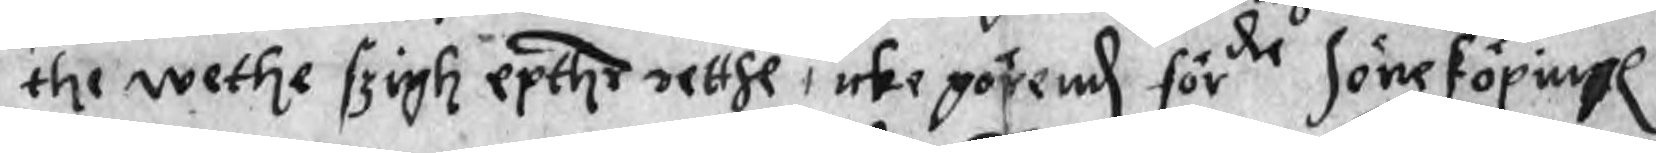the wethe sziigh epthr retthe, icke görend förde Jöneköpingh
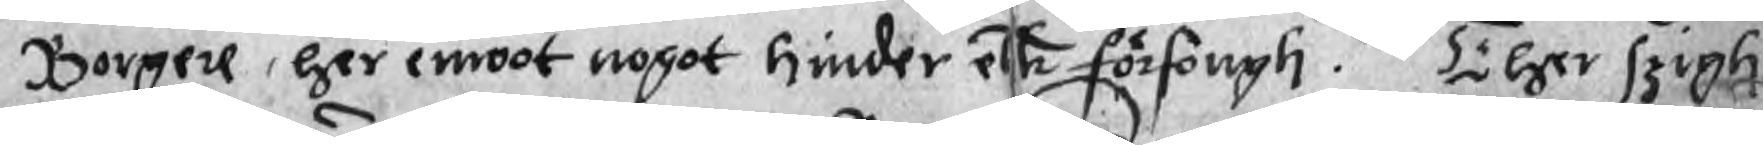Borgere, her emoot nogot hinder ellr förfongh. Ther szigh
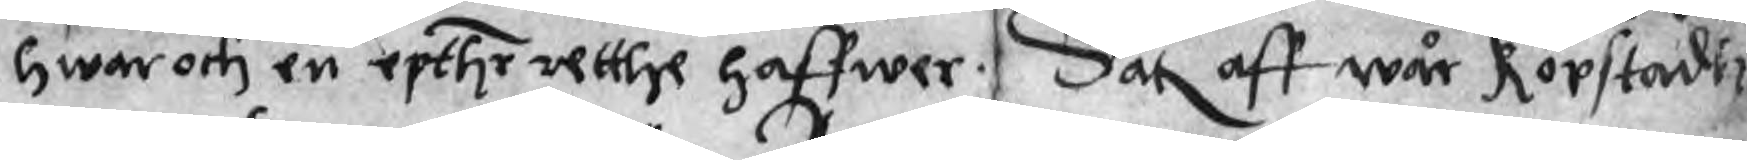hwar och en epthr retthe haffwer. Dat aff wår köpstadh
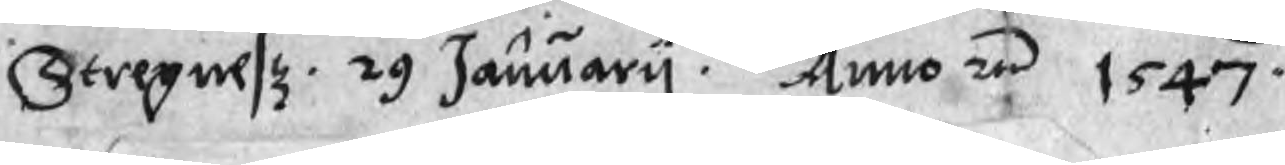Stregnesz. 29 January. Anno re 1547.
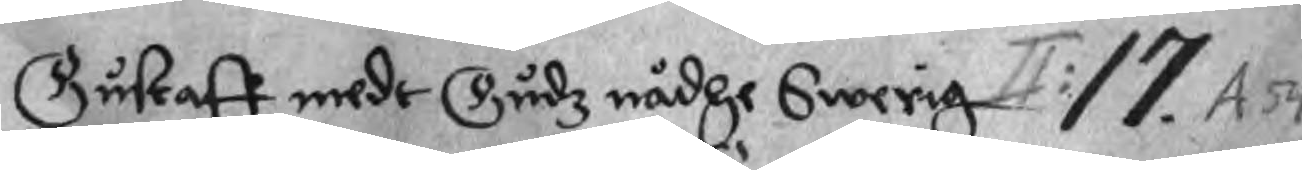Gustaff medr Gudz nådhe Swerig 17. A54
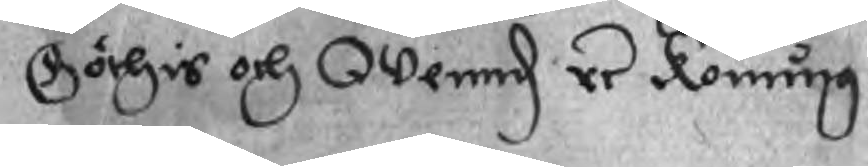Göthis och Wennd re Konung.
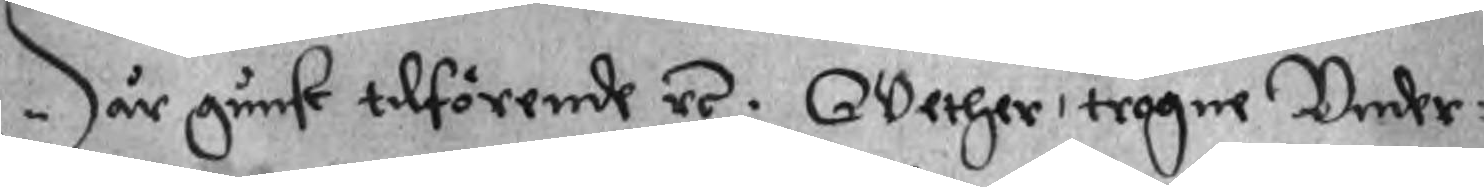Wår gunst tilförende re. Wether, trogne Under¬
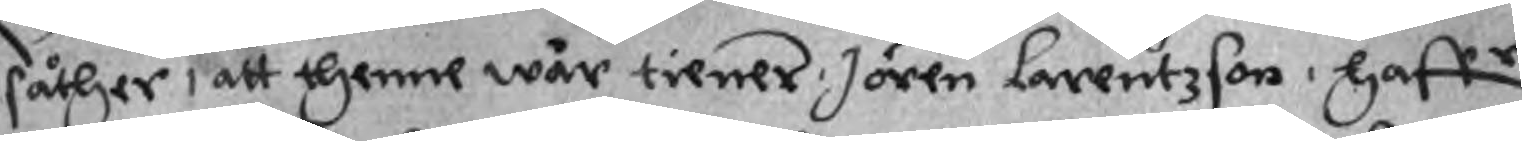såthzer, att thenne wår tiener, Jören Lorentzson, haffr
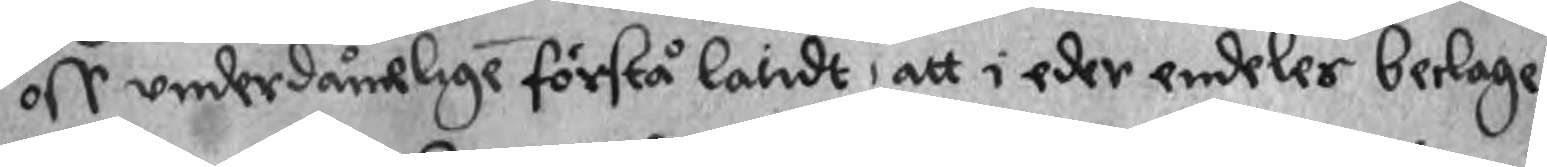oss underdånelige förstå landt, att i eder endeles beclage
